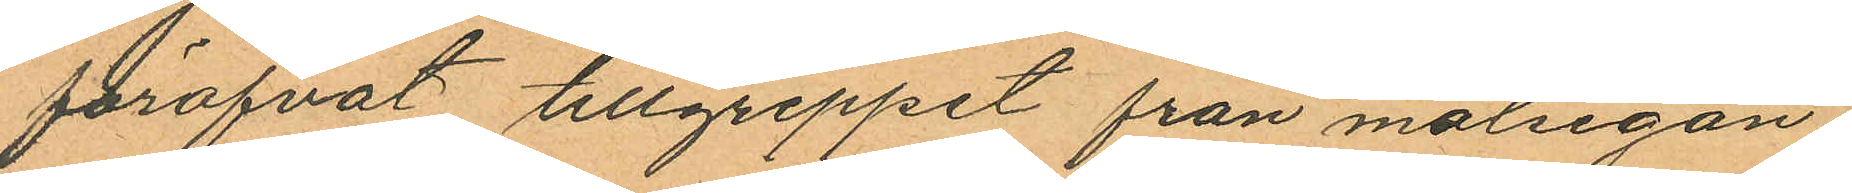föröfvat tillgreppet från målsegan¬
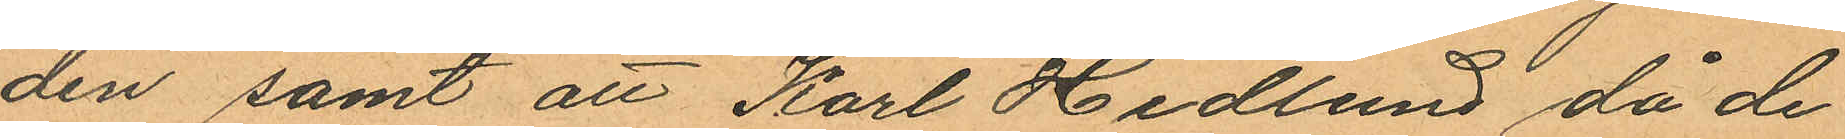den samt att Karl Hedlund då de
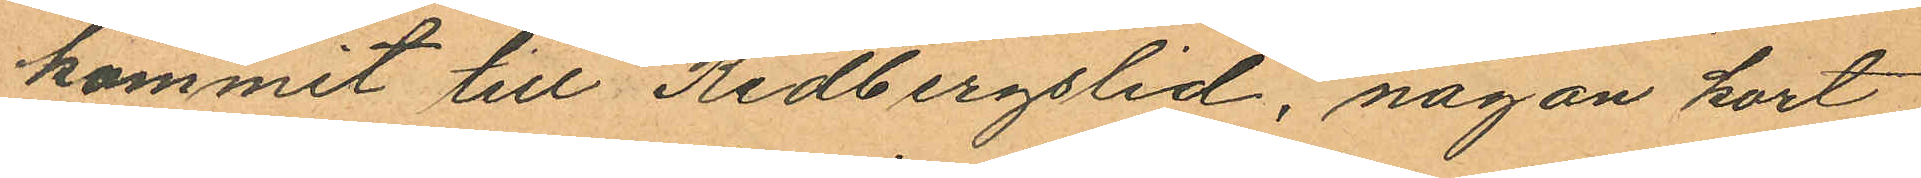kommit till Redbergslid, någon kort
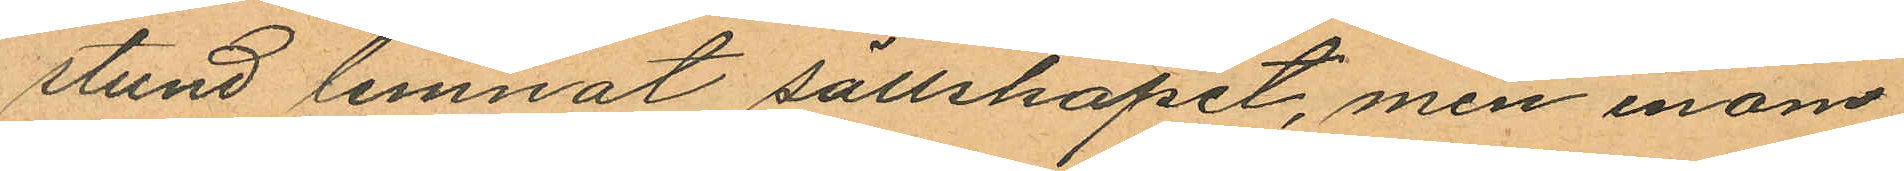stund lemnat sällskapet, men inom
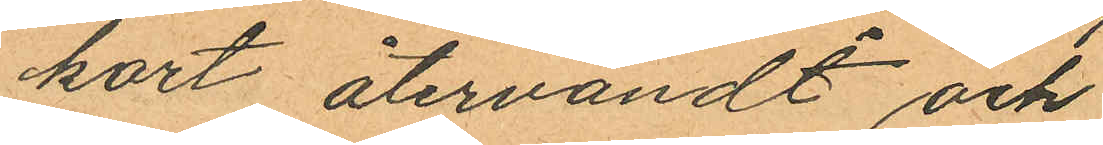kort återvändt och
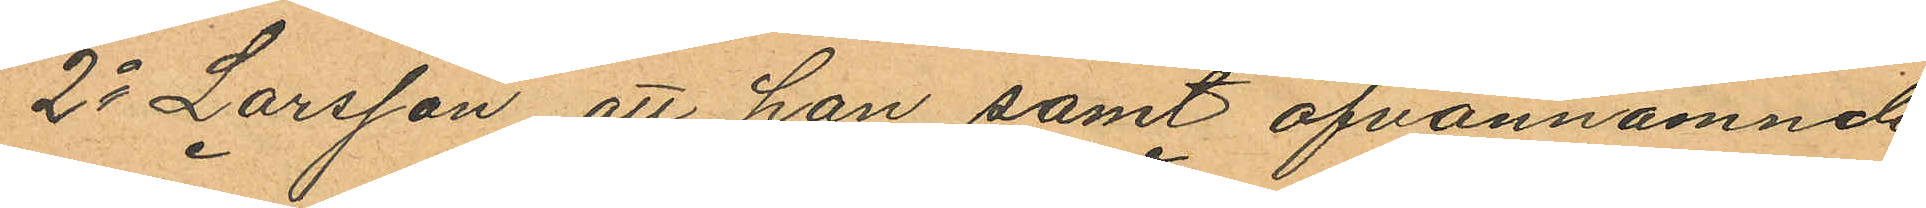2o Larsson att han samt ofvannämnde
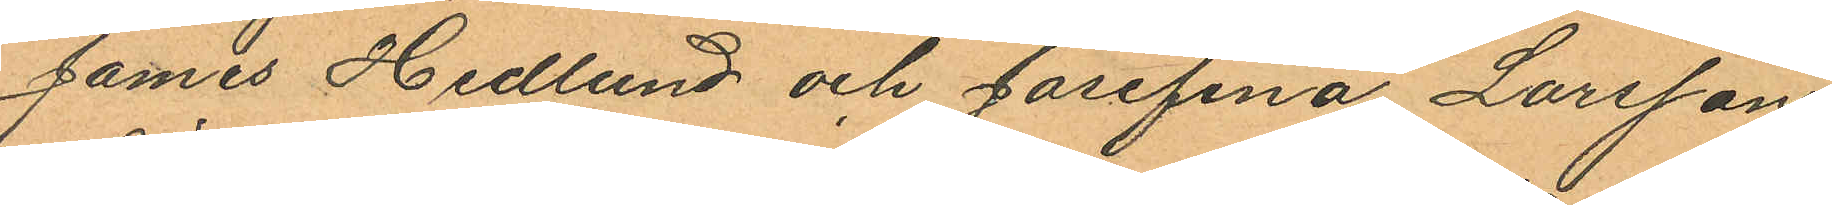James Hedlund och Josefina Larsson
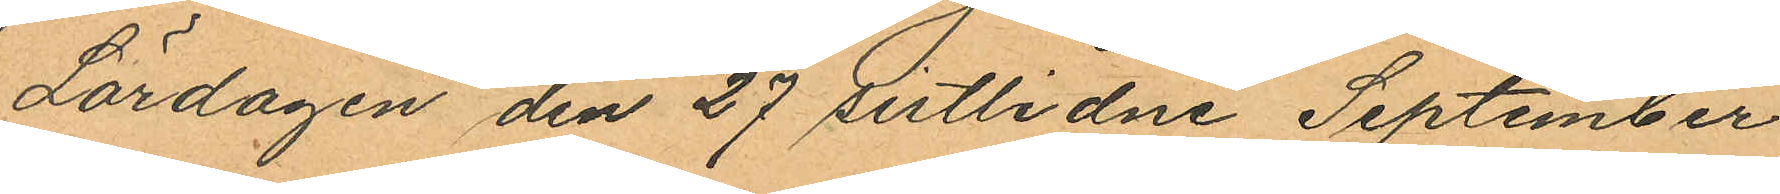Lördagen den 27 sistlidne September
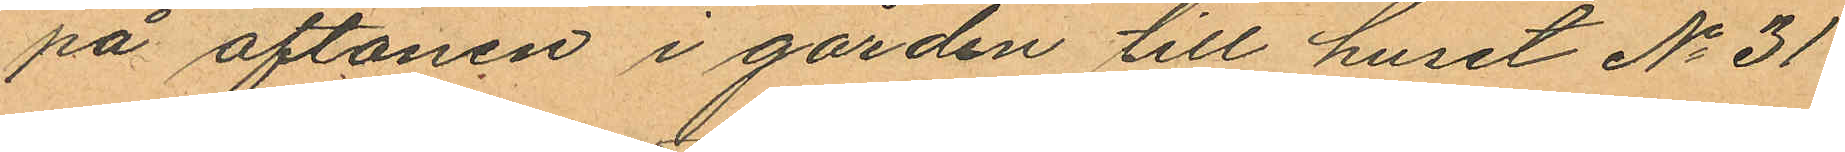på aftonen i gården till huset No 31
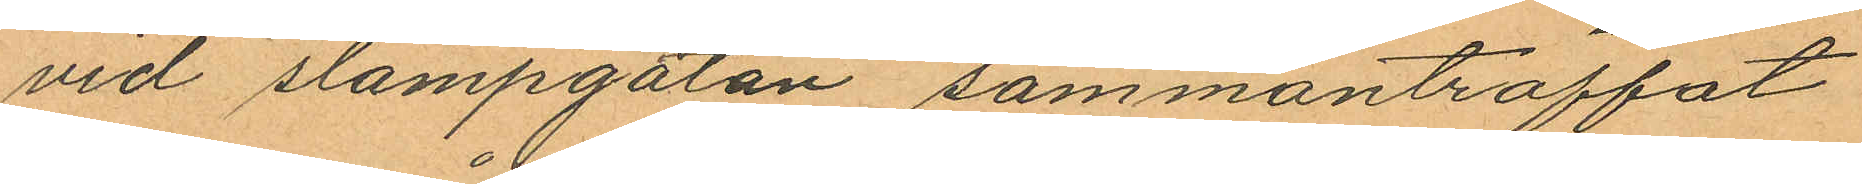vid slampgatan sammanträffat
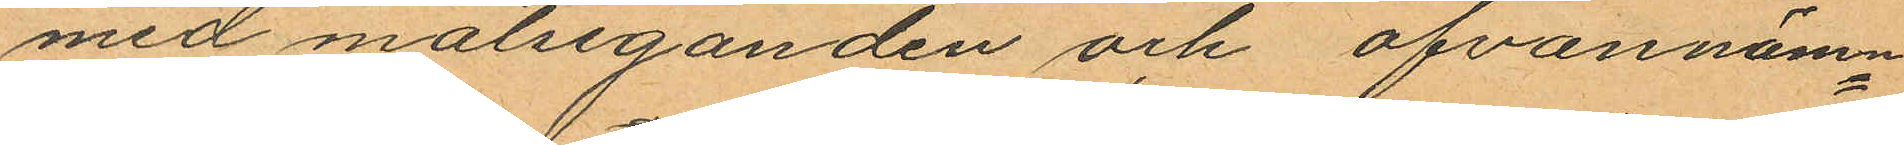med målseganden och ofvannämn¬
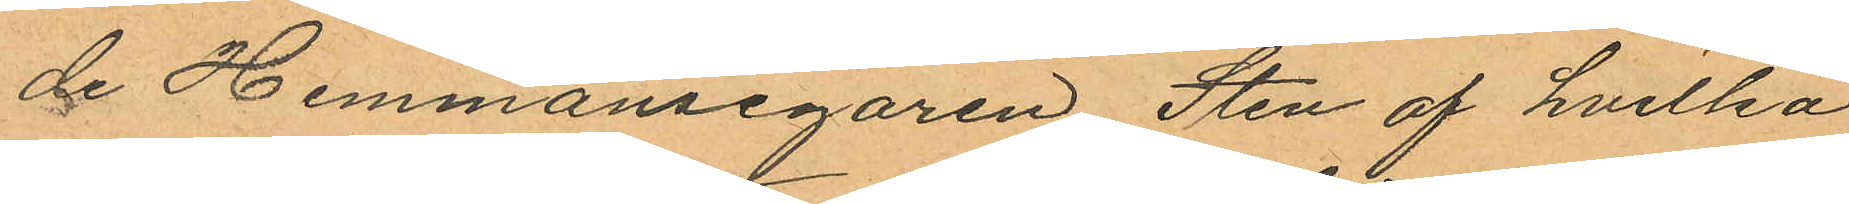de Hemmansegaren Sten af hvilka
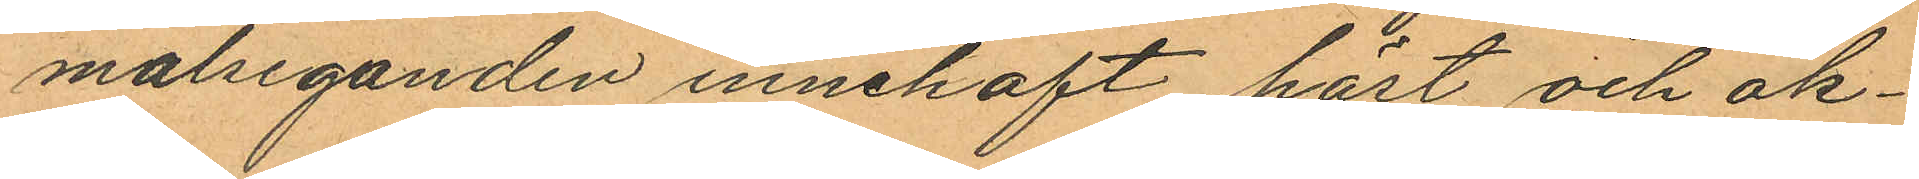målseganden innehaft häst och åk¬
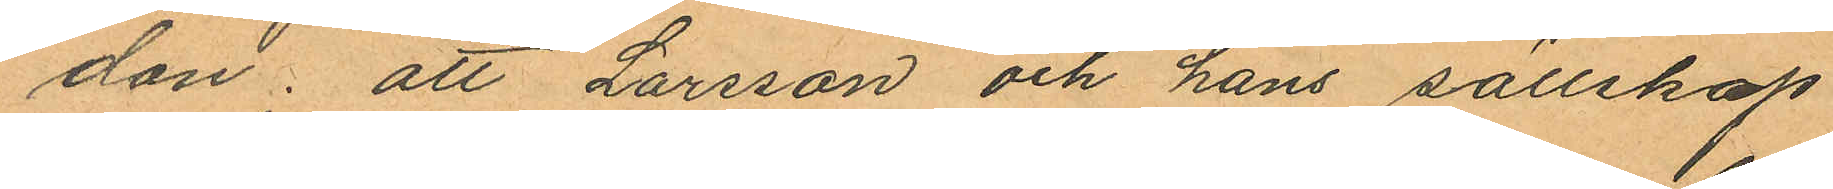don; att Larsson och hans sällskap
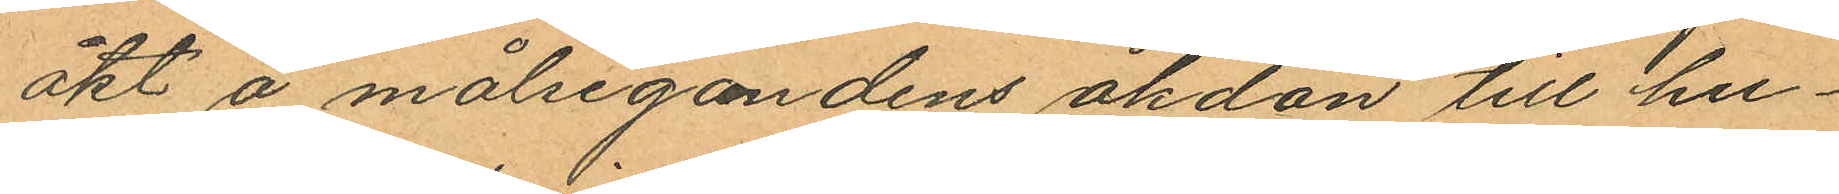åkt å målsegandens åkdon till hu¬
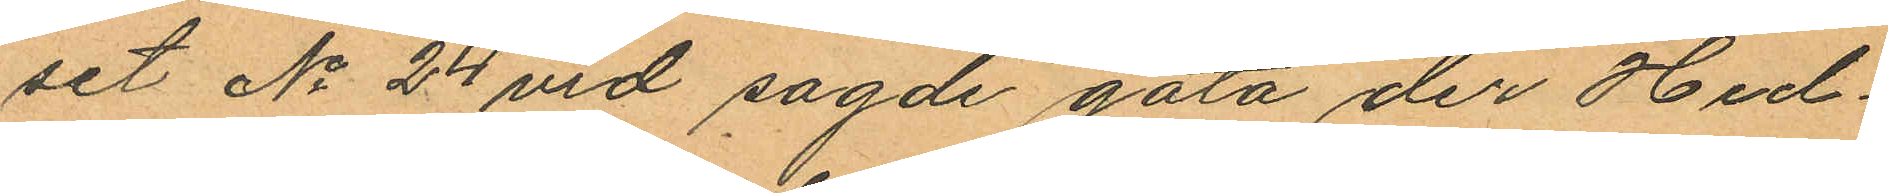set No 24 vid sagde gata der Hed¬
